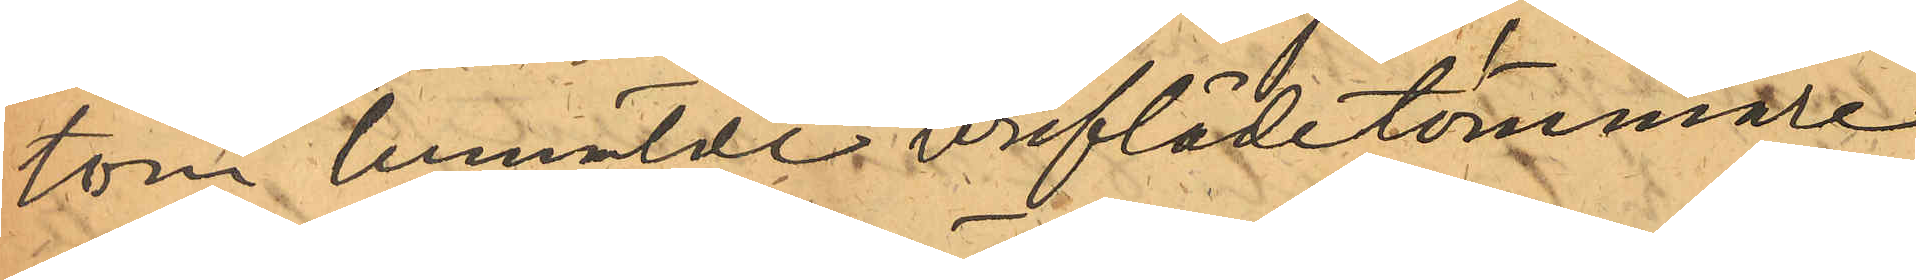tom bemälde breflådetömmare
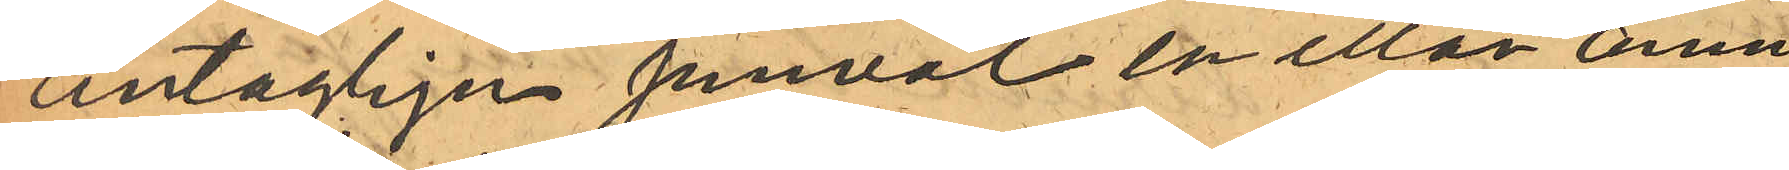antagligen jemväl en eller ann
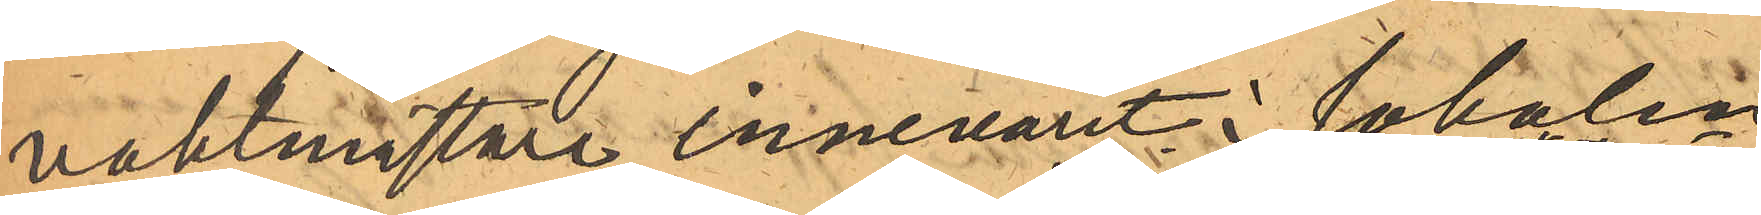vaktmästare innevarit i lokalen
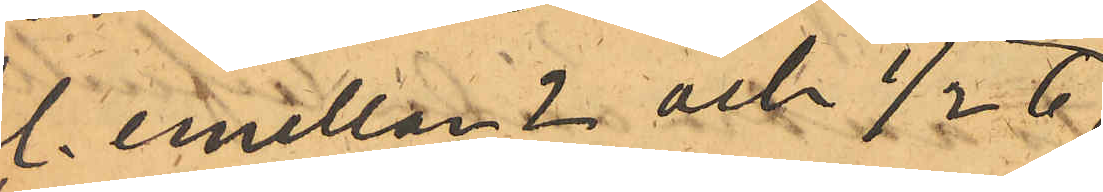kl. emellan 2 och 1/2 6,
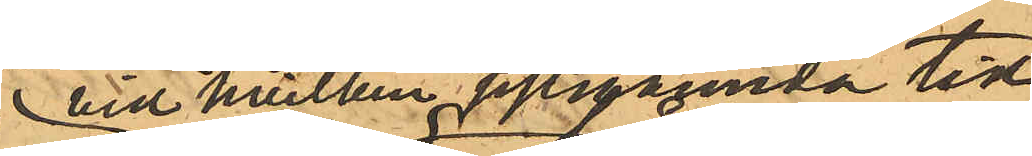vid hvilken sistnämnda tid
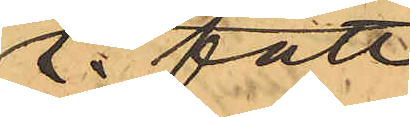E. fått
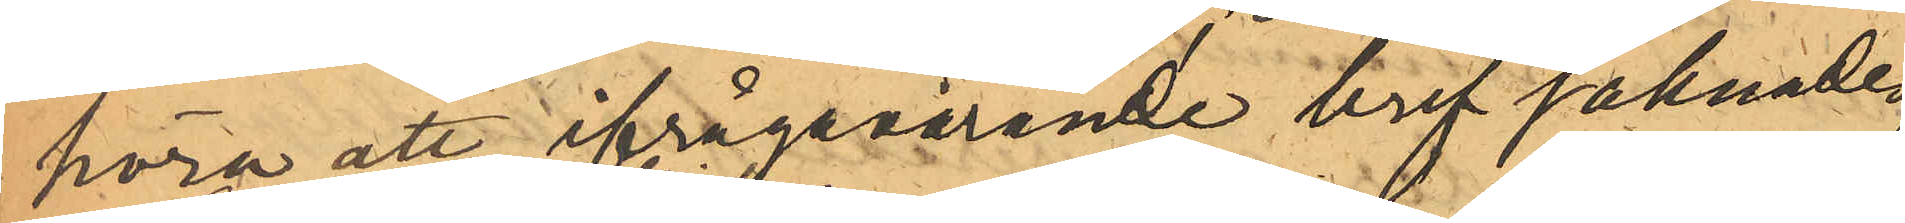höra att ifrågavarande bref saknades:
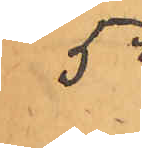5o
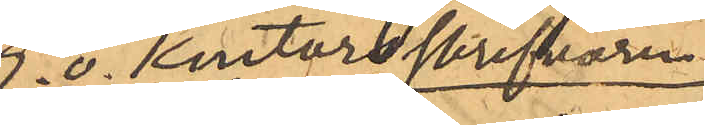E.o. kontorsskrifvaren
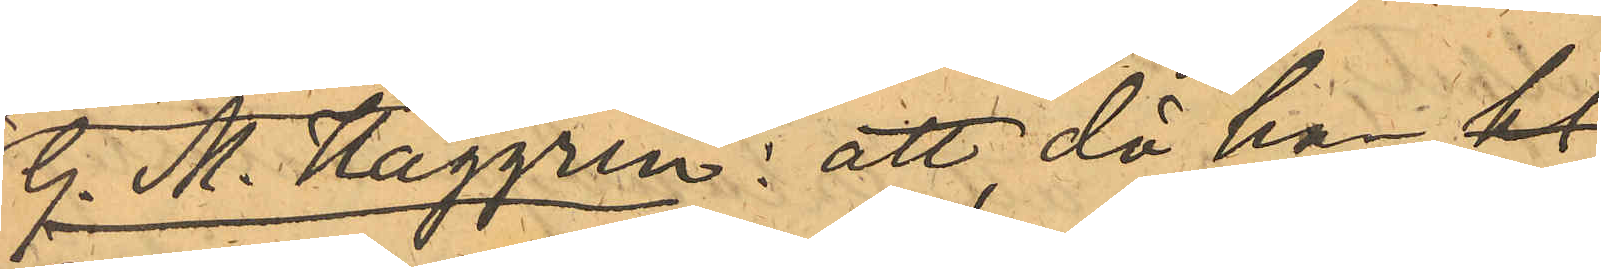G. M. Haggren: att då han kl
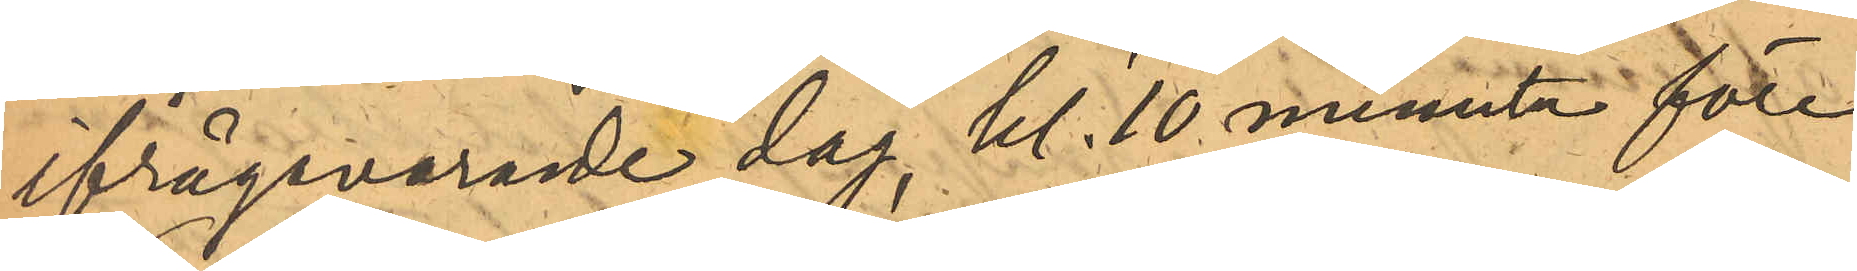ifrågavarande dag kl. 10 minuter före
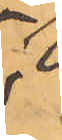5
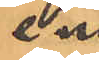em,
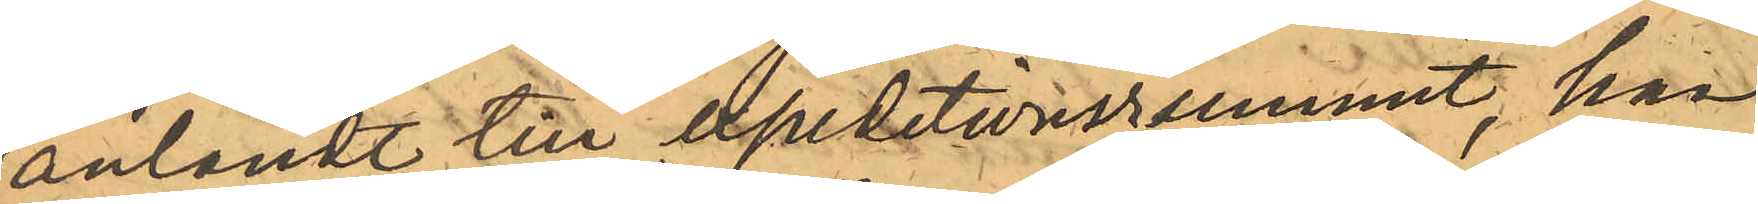anländt till expeditionsrummet, han
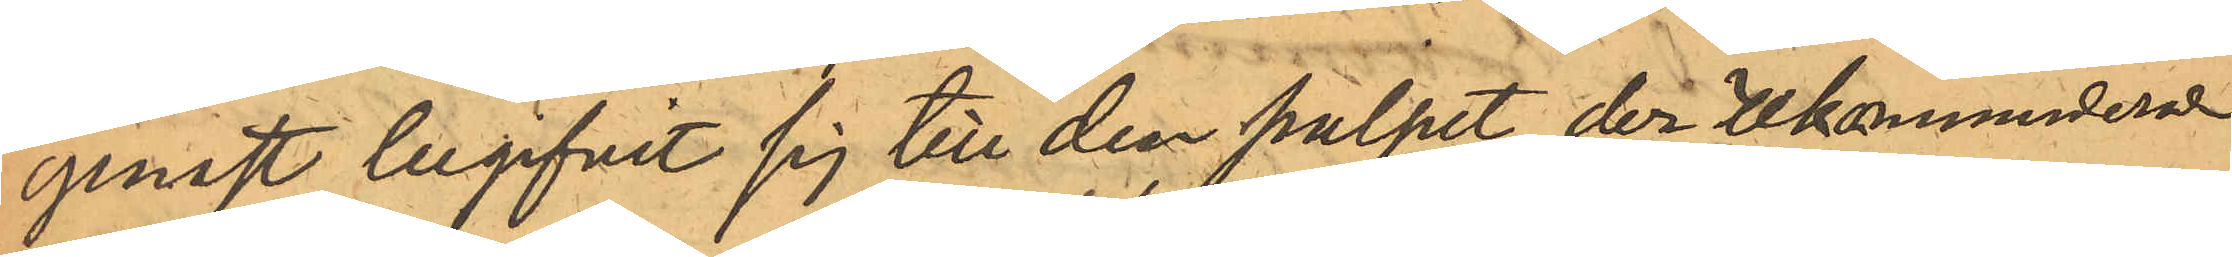genast begifvit sig till den pulpet, der rekommenderade
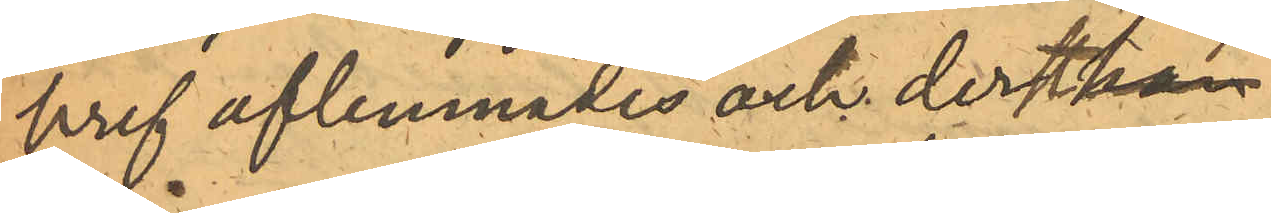bref aflemnades och derst.
